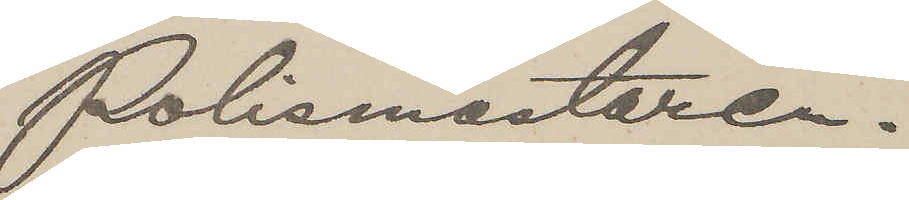Polismästaren.
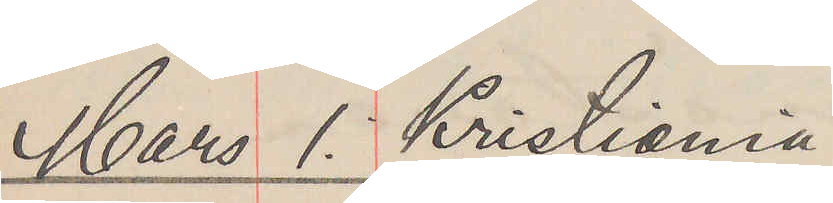Mars 1. Kristiania
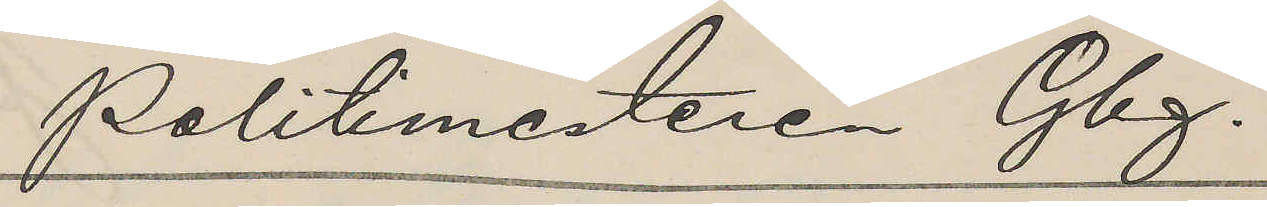Politimesteren Gbg.
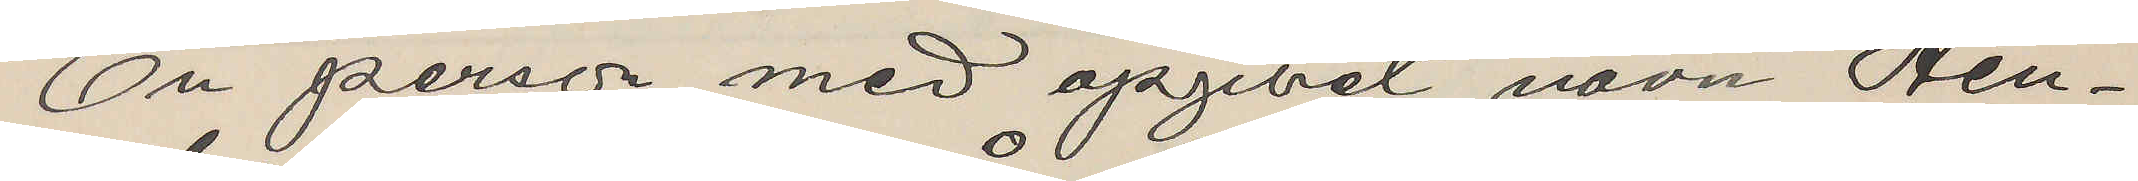En person med opgivet navn Hen¬
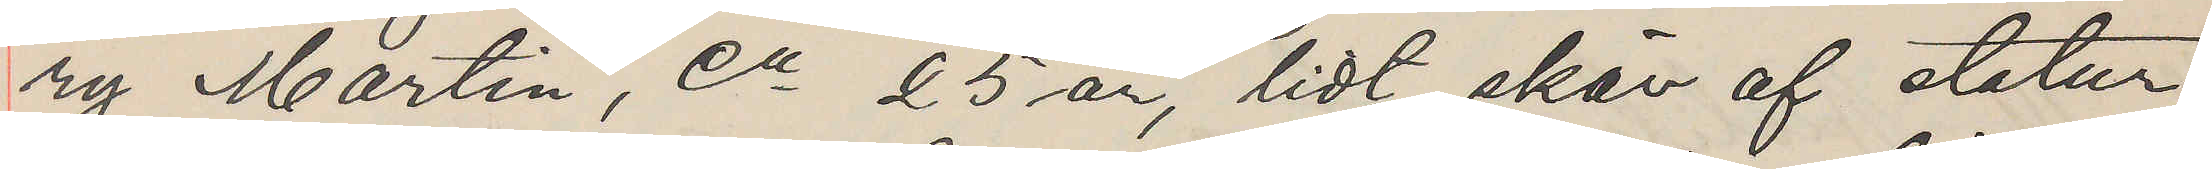ry Martin, ca 25 år, lidt skär af statur,
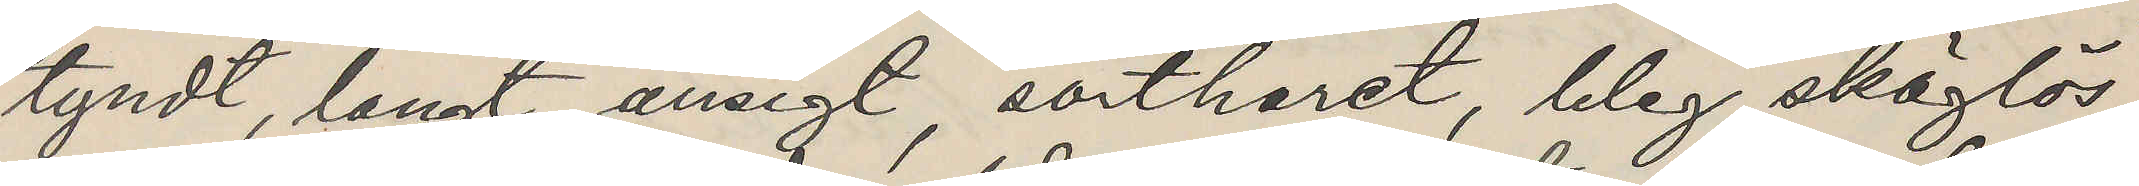tyndt, langt ansigt, sortharet, bleg skäglös,
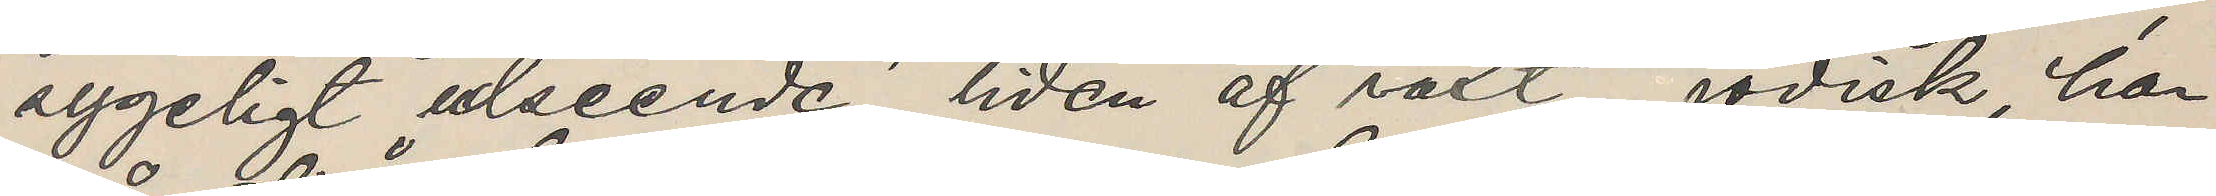sygeligt udseende, liden af växt, jödisk, har
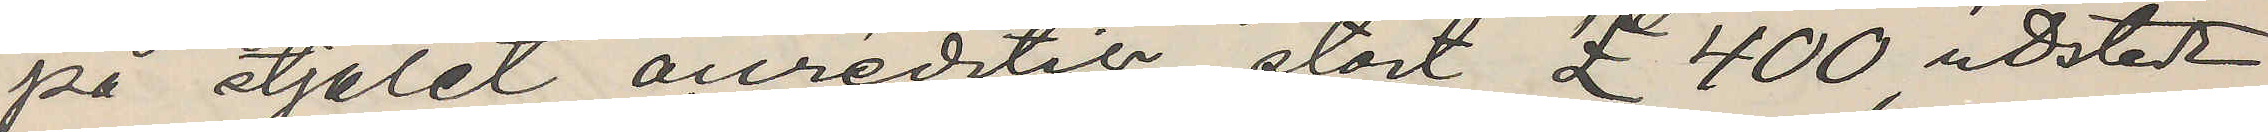på stjålet accreditier stort £ 400, udsteldt
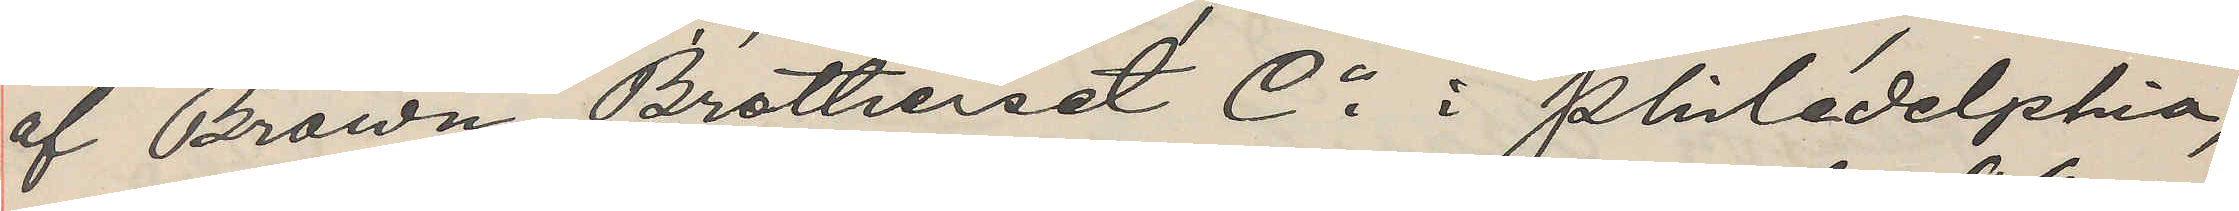af Brown, Brothers et Co i Philadelphia,
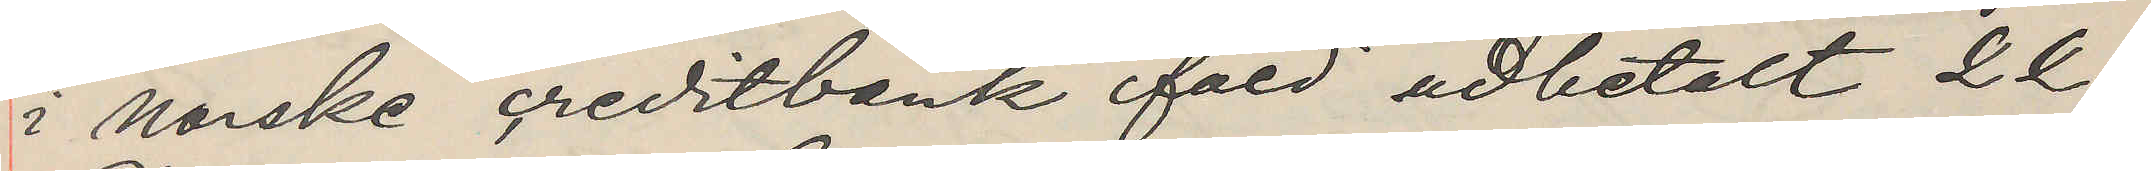i norske creditbank fåed udbetalt 22.
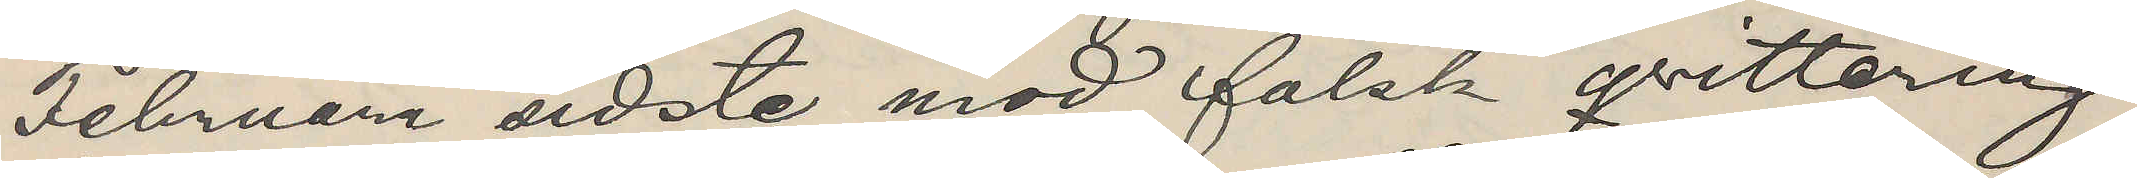Februari sidste mod falsk qvittering
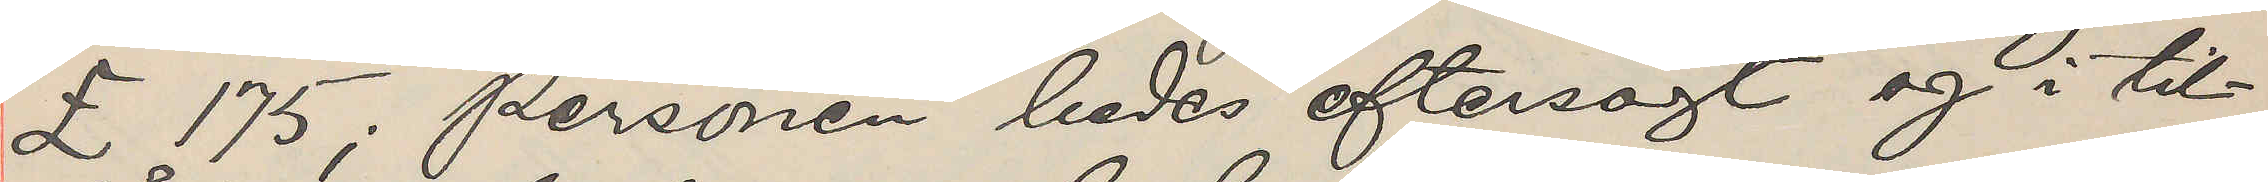£ 175; personen bedes eftersögt og i til¬
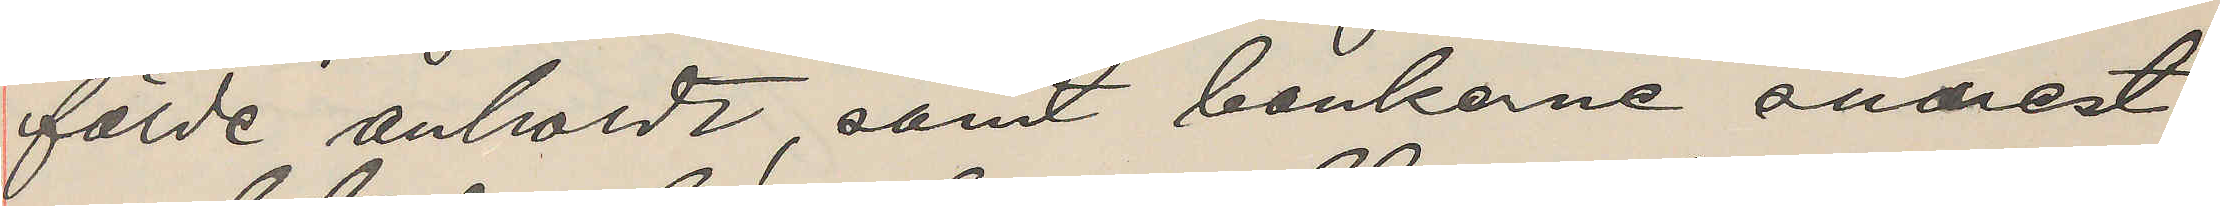fälde anholdt, samt bankerne snarest
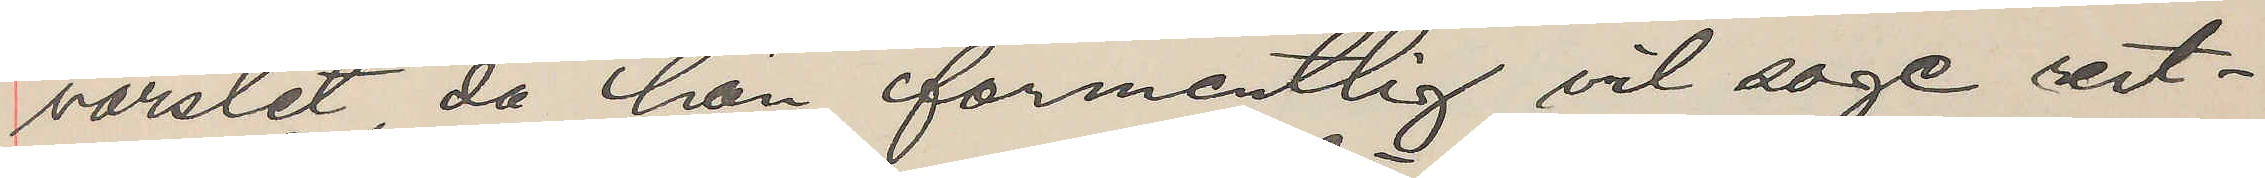varslet, da han formentlig vil soge rest¬
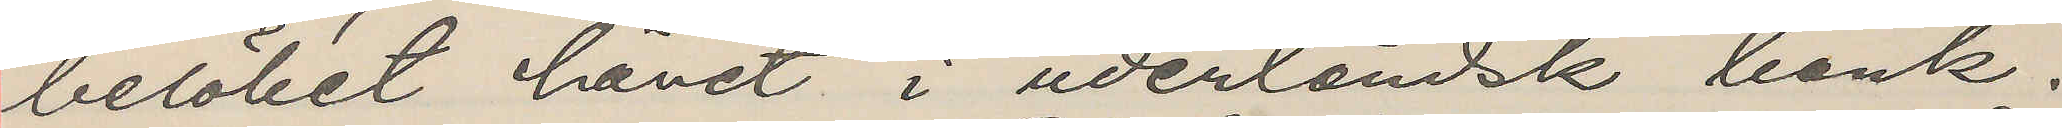belöbet hävet i uderländsk bank.
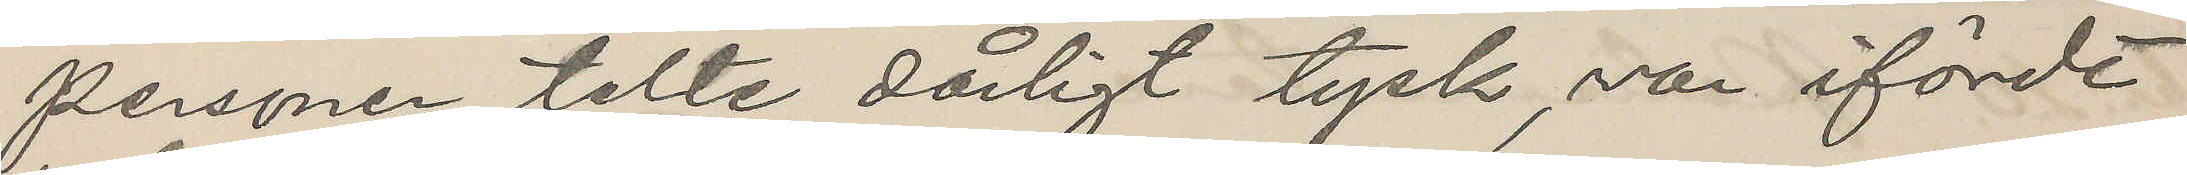Personen talte dårligt tysk, var ifördt
